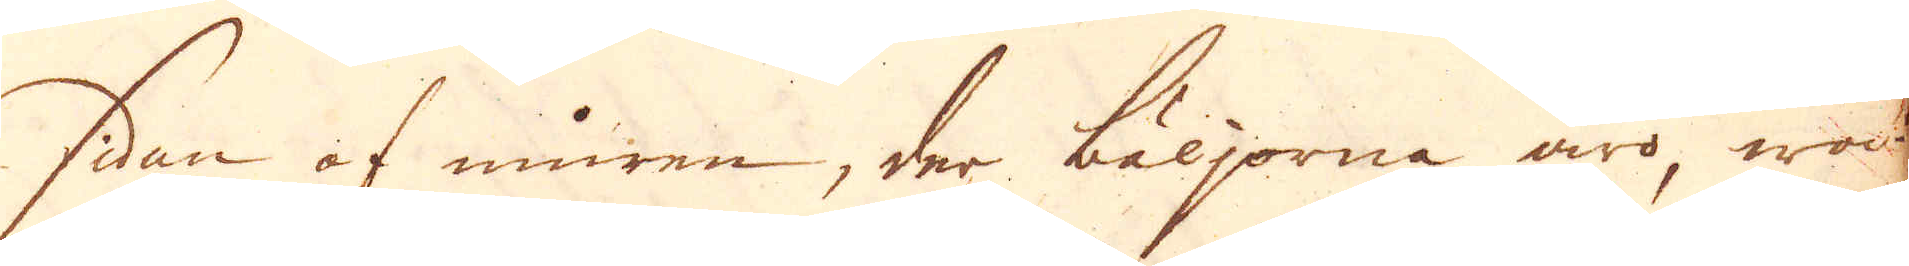sidan af muren, der bäljorna äro wa-
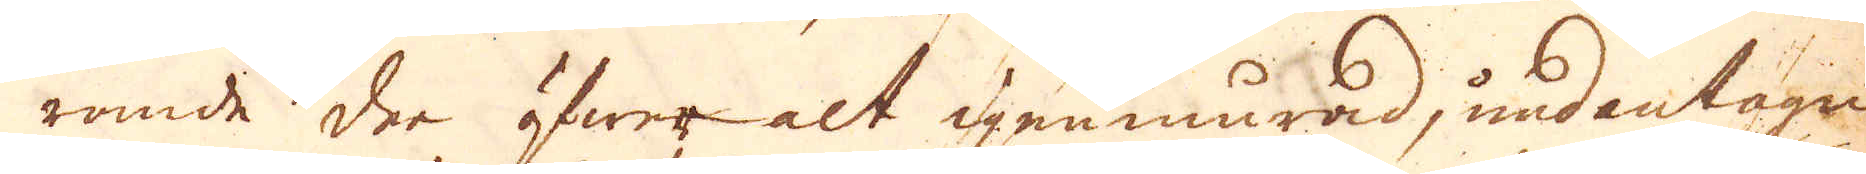rande der öfwer alt igenmurad, undantagen
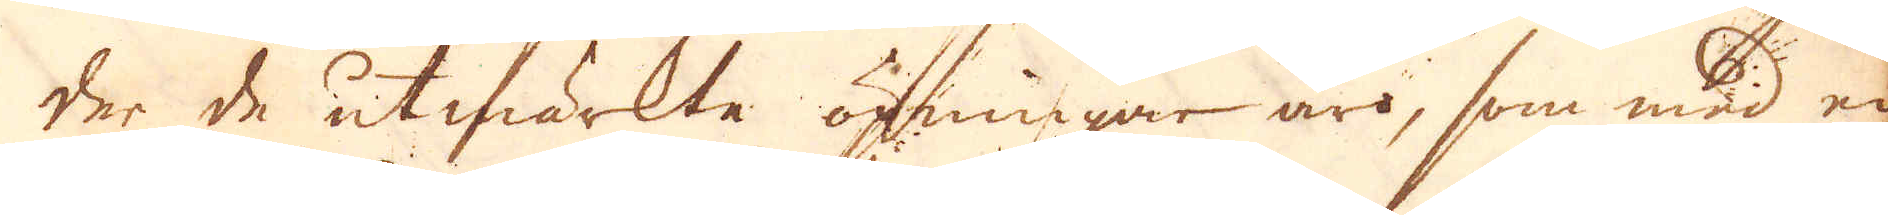der de utmärkte öpningar äro, som med en
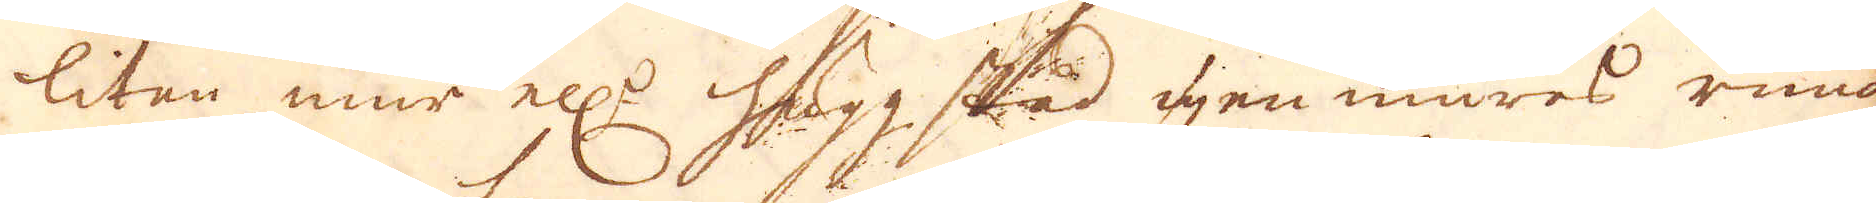litan mur ell:r huggstad igenmures rundt
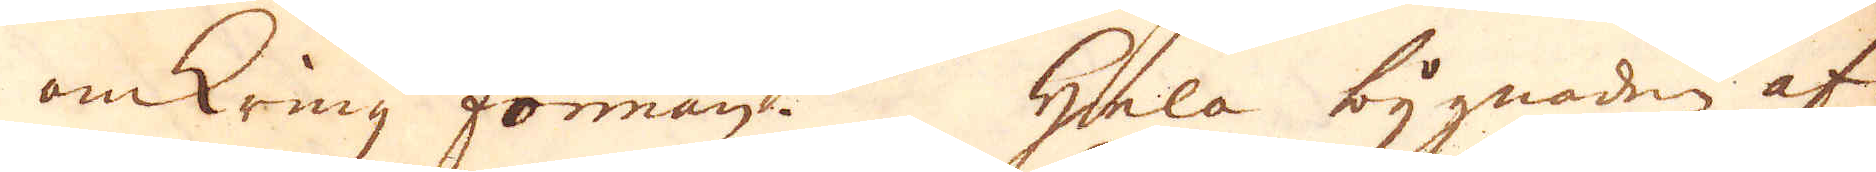omkring forman. Hela bygnaden af
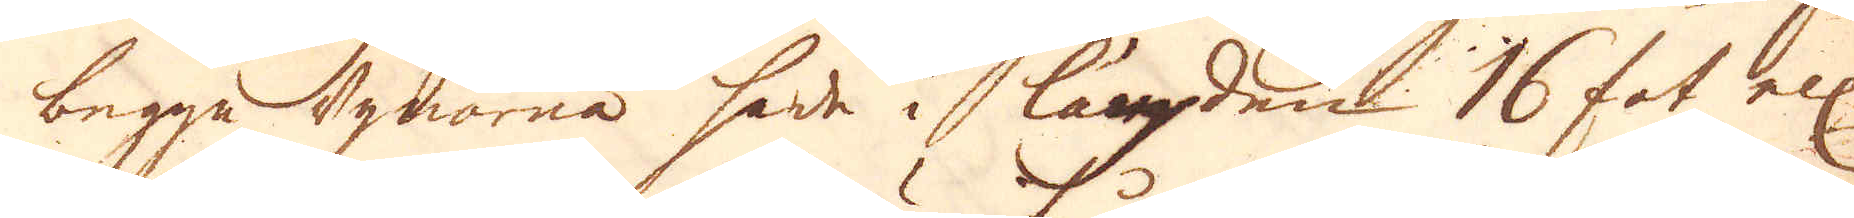begga ugnarna hade i längden 16 fot ell:
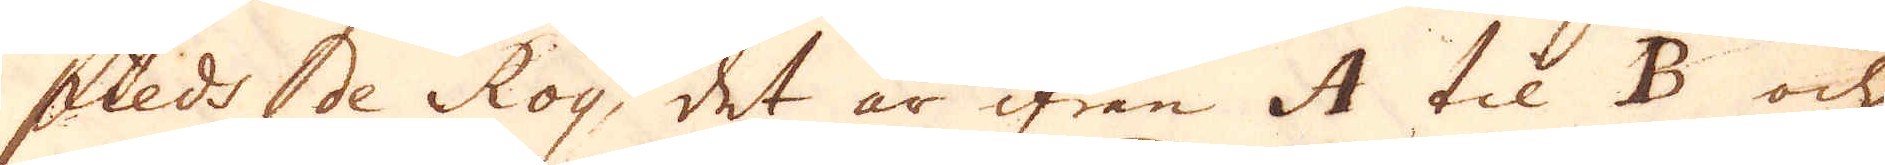pieds de Roy, det är ifrån A til B och
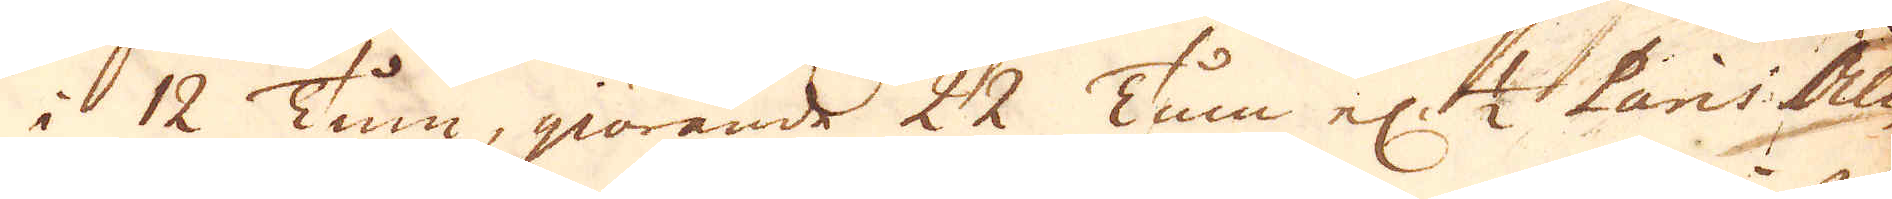i 12 Tum, giörande 22 Tum el:r 1/2 Paris Aln
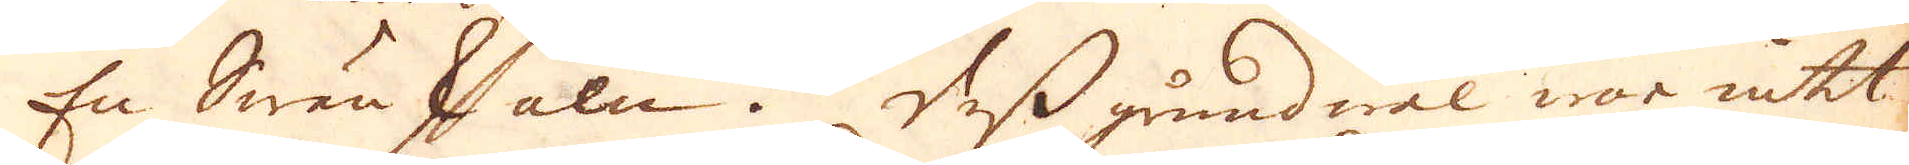En Swänsk aln. Dess grundwal war intet
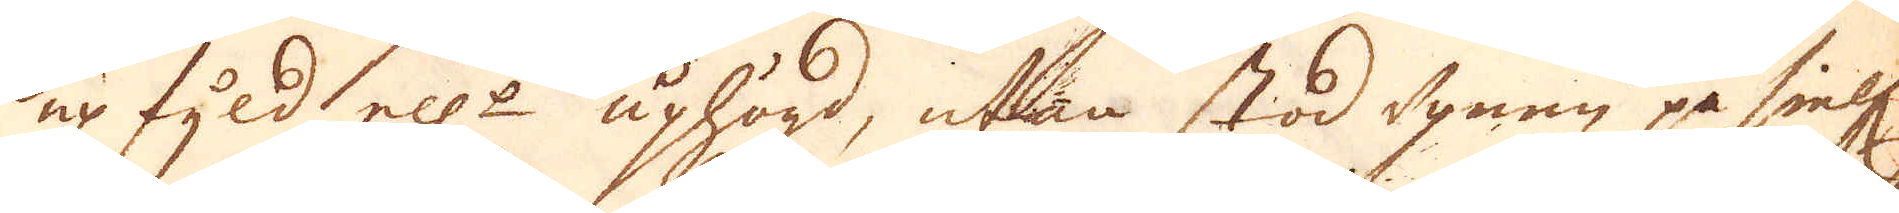upfyld ell:r uphögd, utan stod ugnen på sielf.
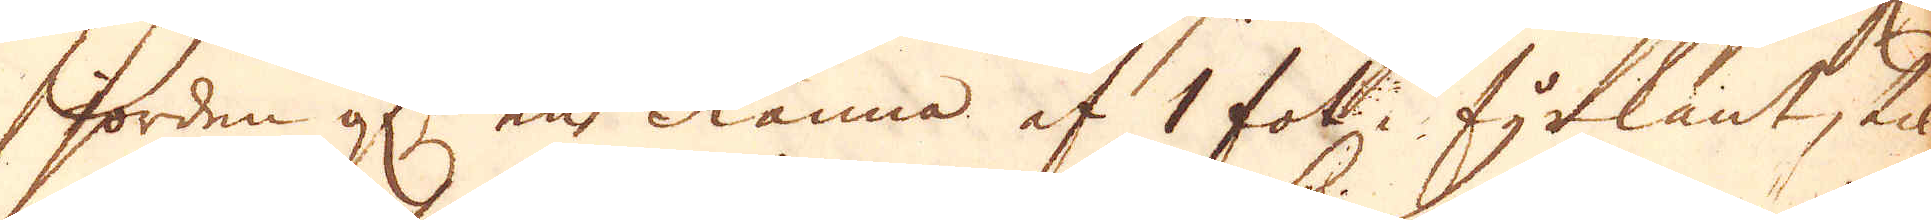jorden af en Ränna af 1 fot fyrkant, til
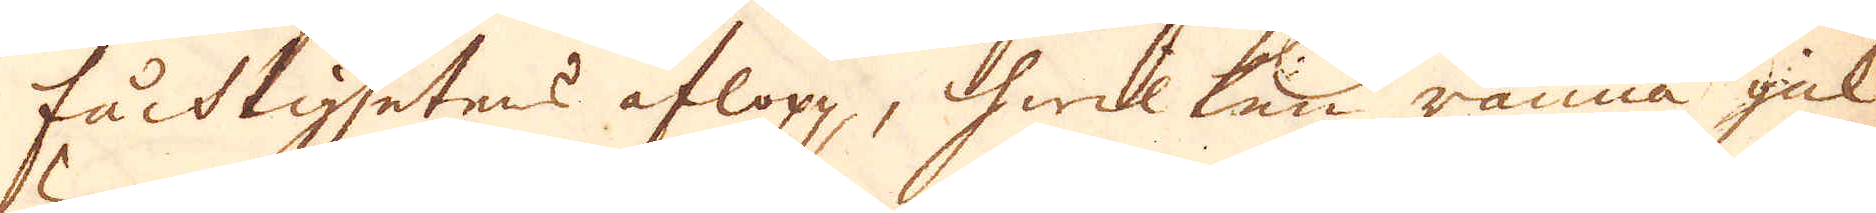fucktighetens aflopp, hwilken ränna gick
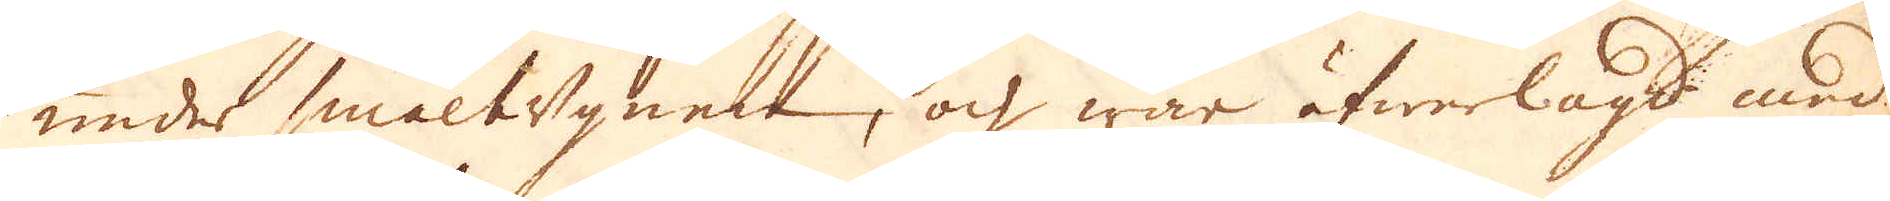under smältugnen, och war öfwerlagd med
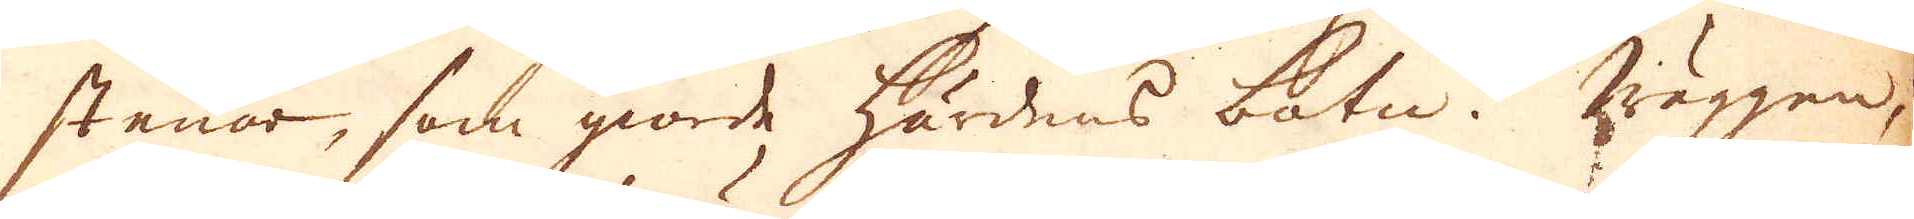stenar, som giorde härdens botn. Wäggen,
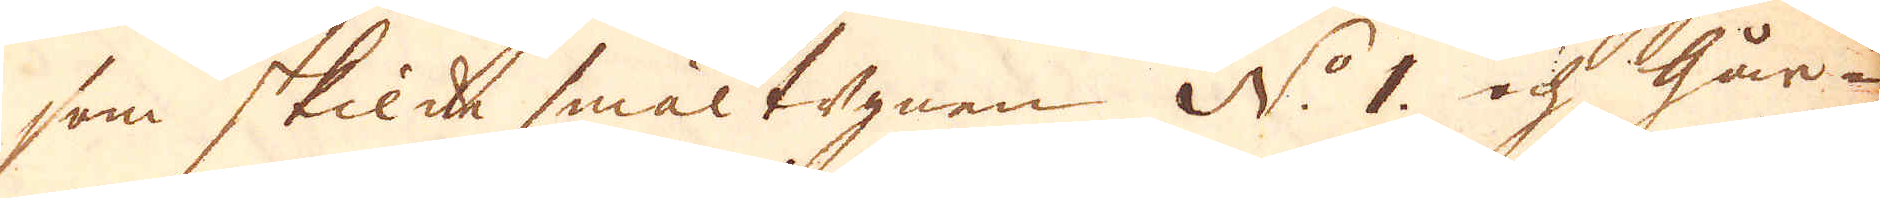som skilde smältugnen N:o 1. och Går-
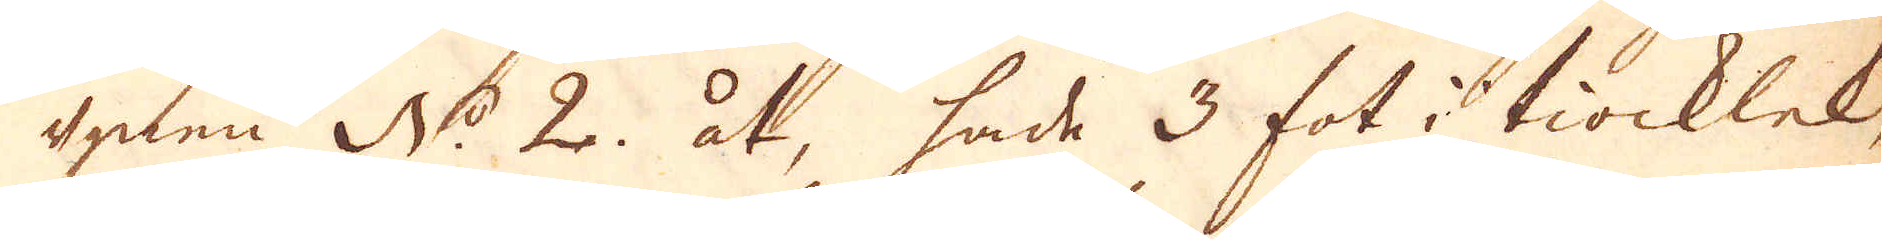ugnen N:o 2. åt, hade 3 fot i tiocklek,
